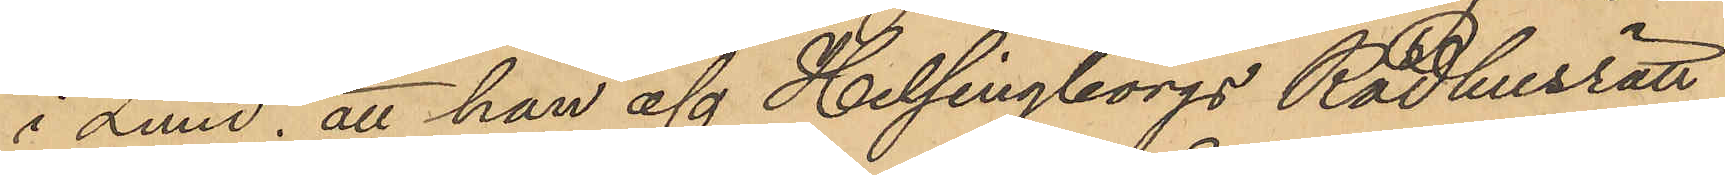i Lund; att han af Helsingborgs Rådhusrätt
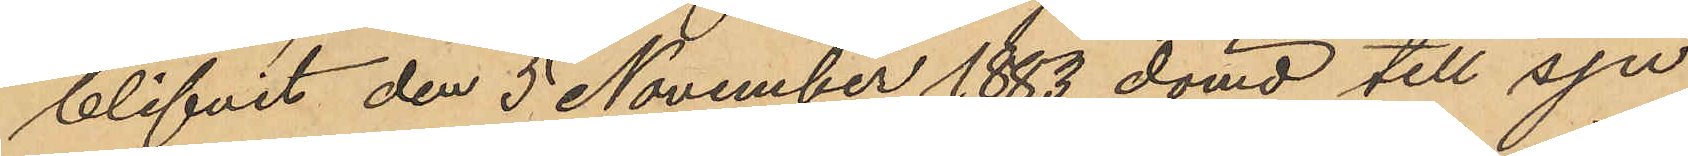blifvit den 5 November 1883 dömd till sju
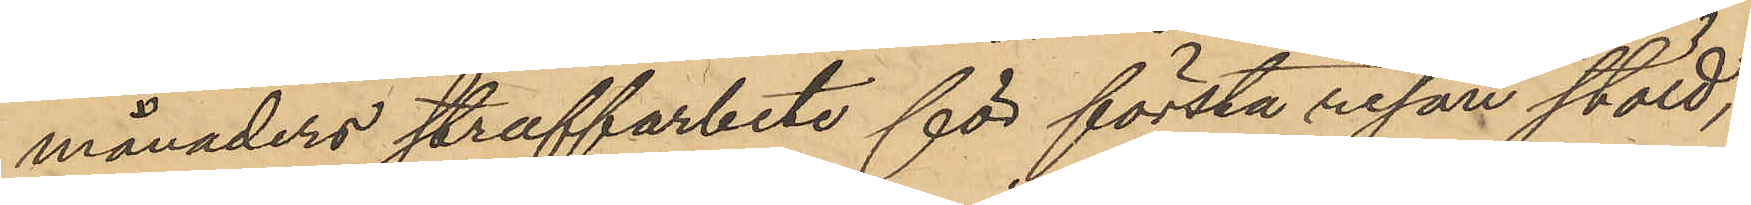månaders straffarbete för första resan stöld;
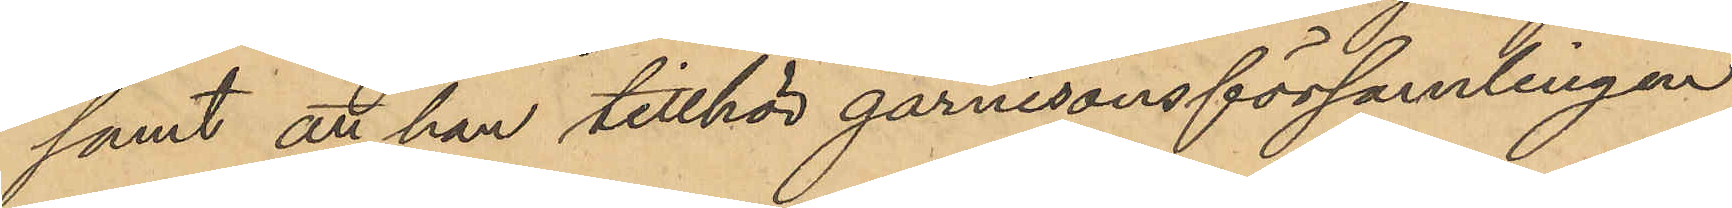samt att han tillhör garnisonsförsamlingen
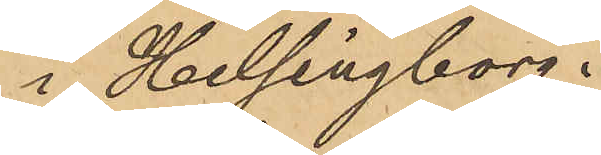i Helsingborg.
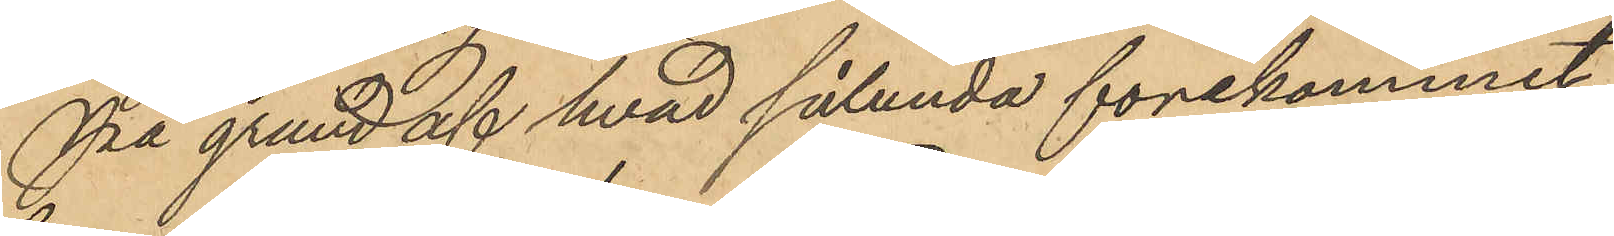På grund af hvad sålunda förekommit
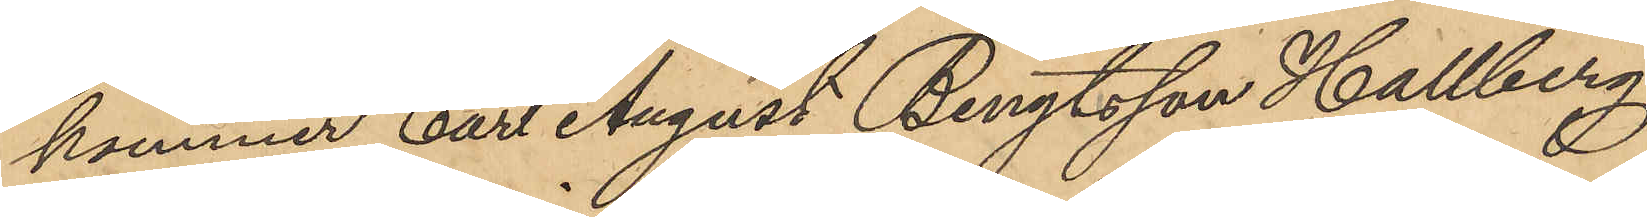kommer Carl August Bengtsson Hallberg,
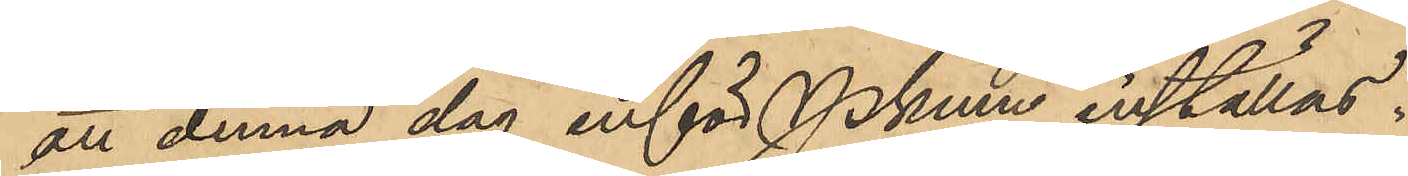att denna dag inför Pkmn inställas.
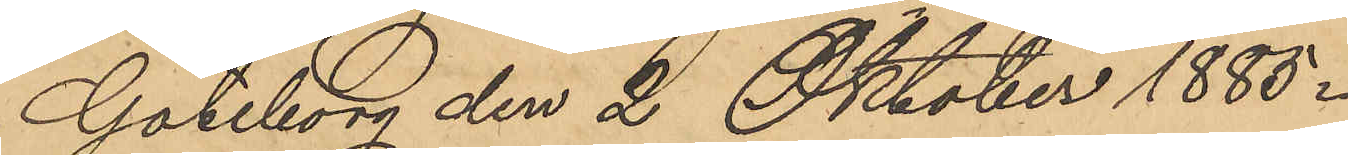Göteborg den 2 Oktober 1885.
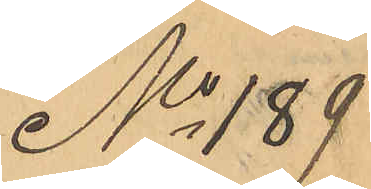No 189
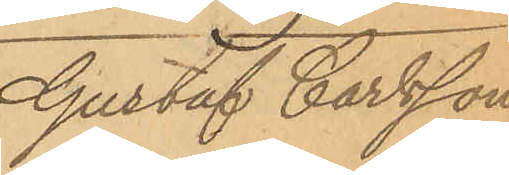Gustaf Carlsson
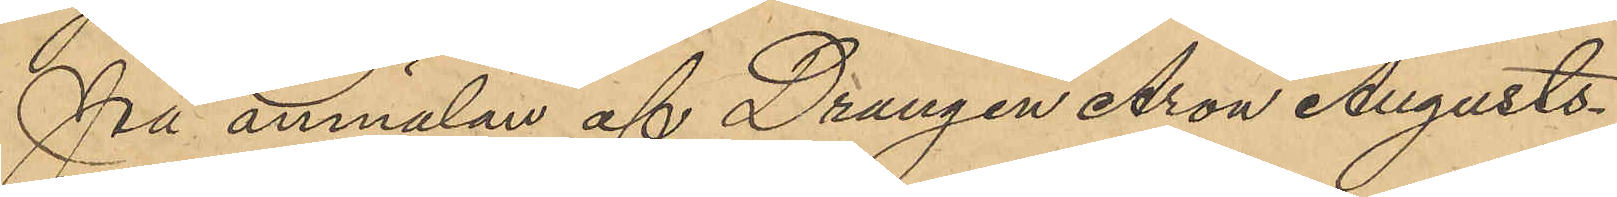På anmälan af Drängen Aron Augusts¬
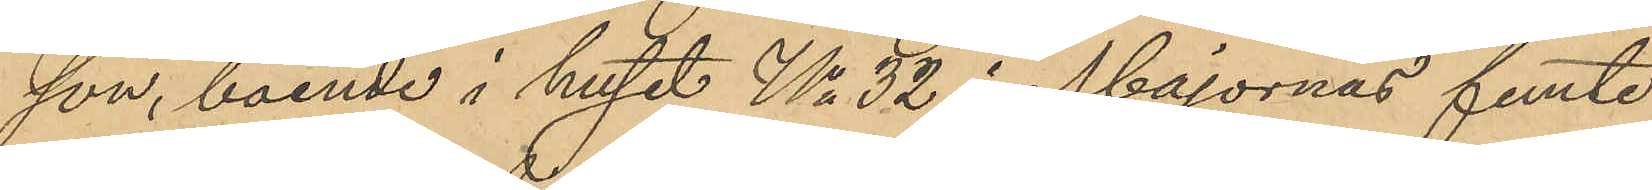son, boende i huset No 32 i Majornas femte
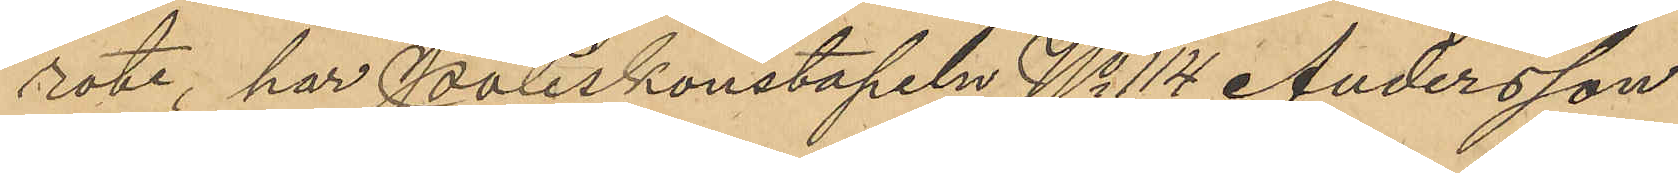rote, har Poliskonstapeln No 114 Andersson
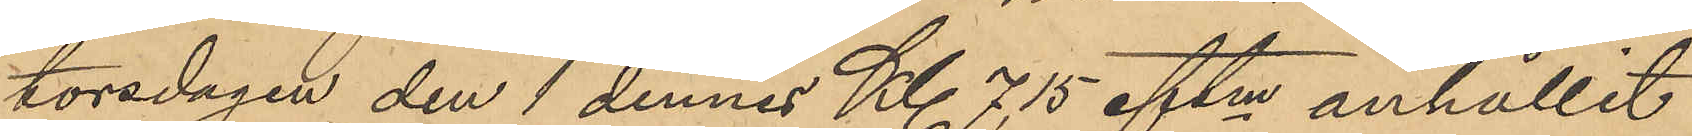torsdagen den 1 dennes Kl 7,15 eftm anhållit
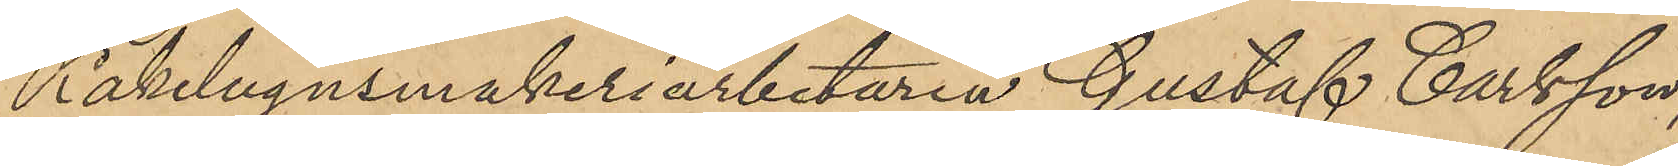Kakelugnsmakeriarbetaren Gustaf Carlsson,
